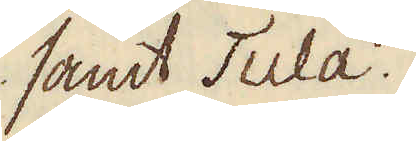samt Tula.
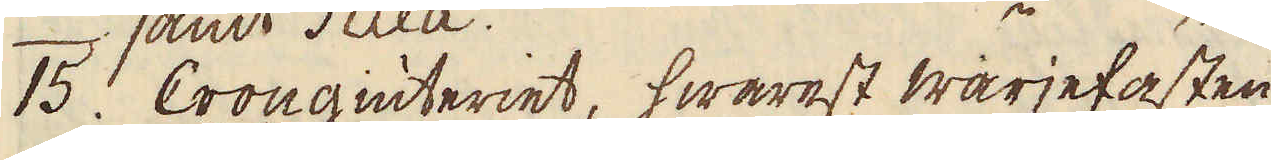15. Cron giuteriet, hwarest wärjefästen
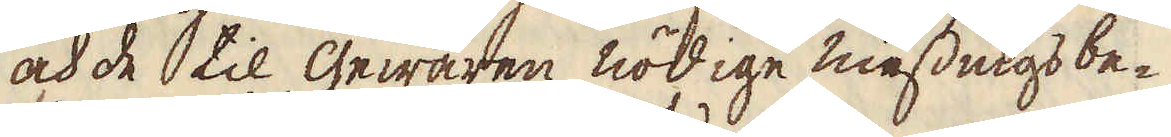och de til gewären nödige messings be-
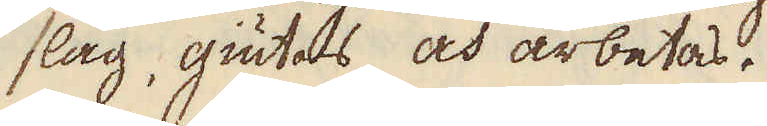slag, giutas och arbetas.
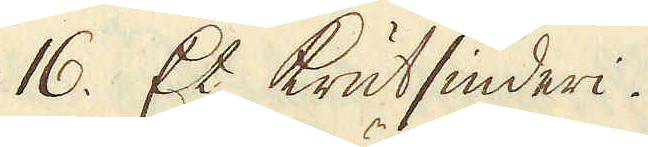16. Et Krutsiuderi.
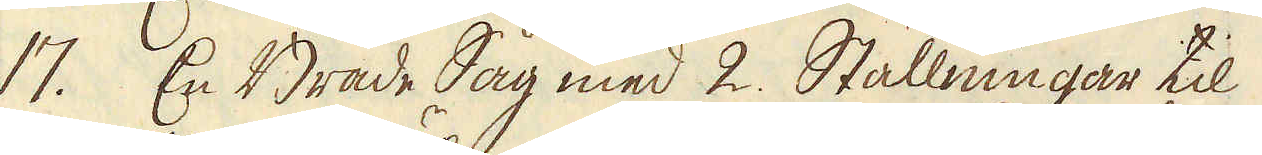17. En Bräde Såg med 2. Ställningar til
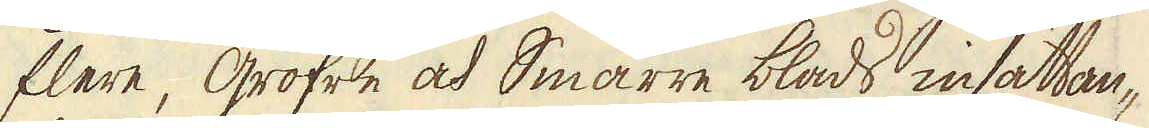flere gröfre och smärre blads insättan-
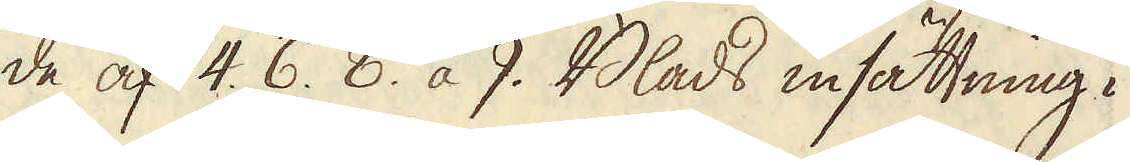de af 4. 6. 8. a 9. Blads insättning i
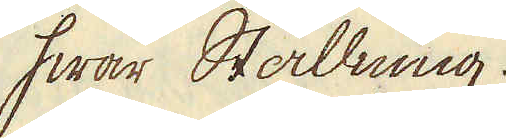hwar Ställning.
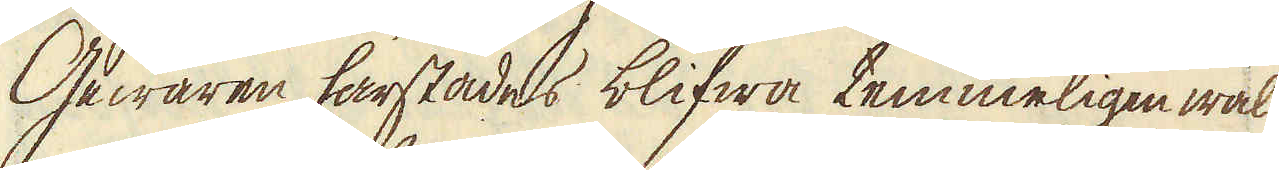Gewären härstädes blifwa temmeligen wäl
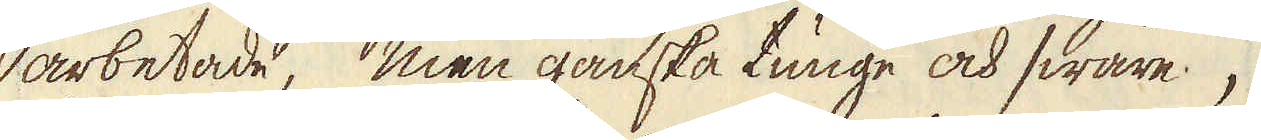arbetade, men ganska tunge och swåre,
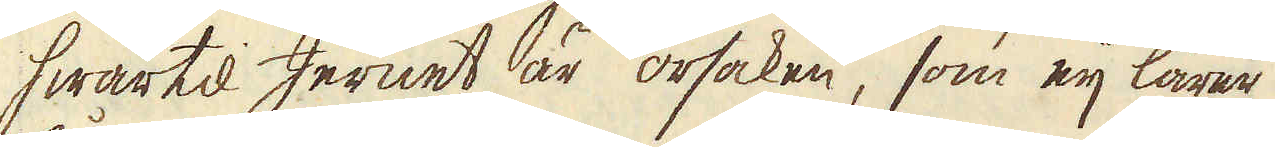hwartil Jernet är orsaken, som eij lärer
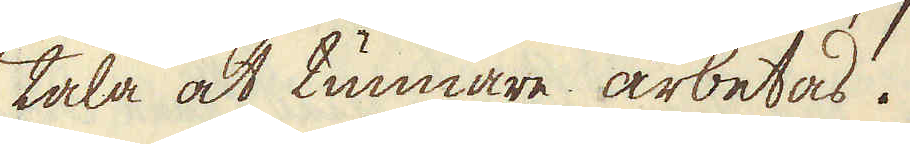tåla at tunnare arbetas.
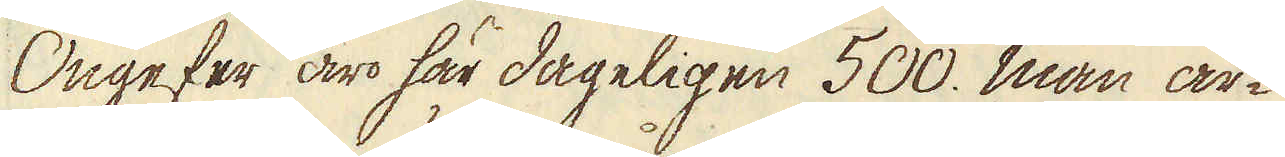Ongefer äro här dageligen 500. man ar-
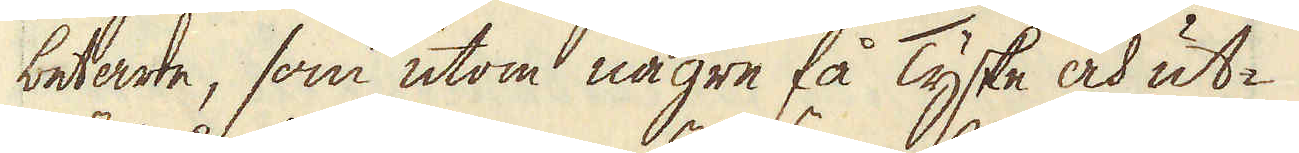betare, som utom någre få Tyske och ut-
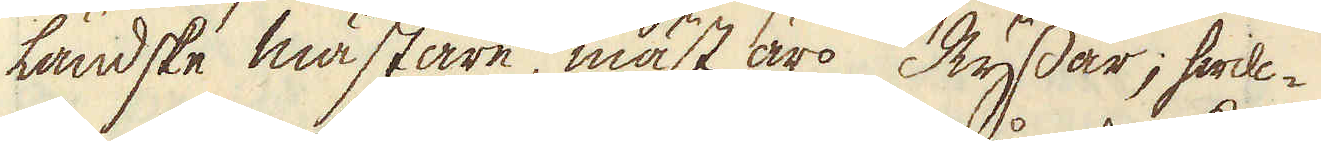ländske mästare, mäst äro Ryssar; hwil-
